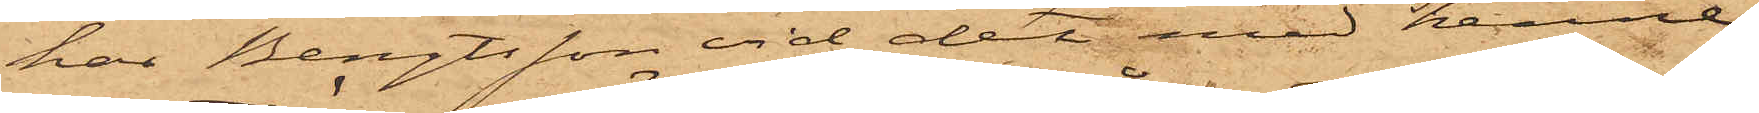har Bengtsson vid det med henne
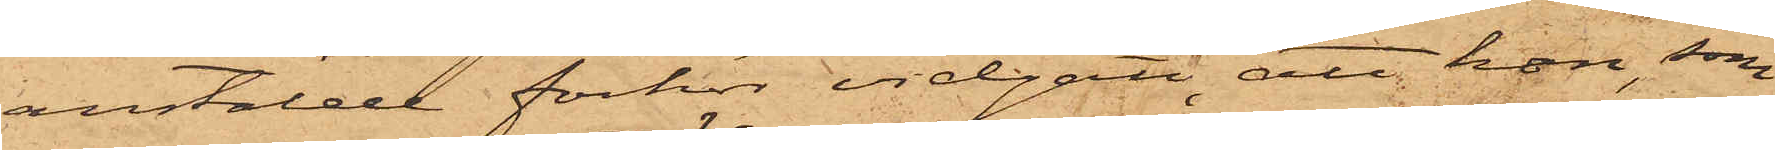anstälde förhör vidgått, att hon, som
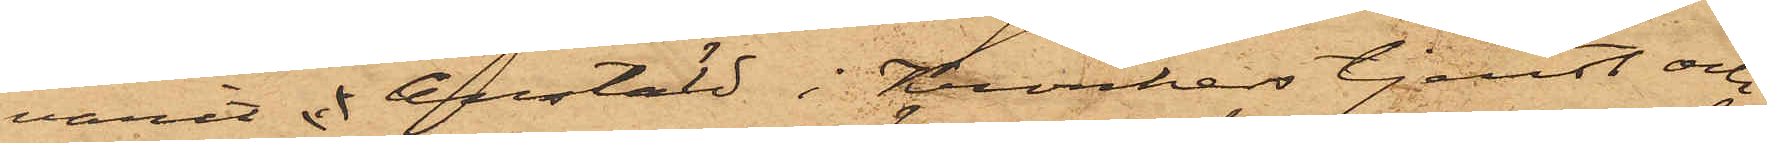varit i anstäld i Konkers tjenst och
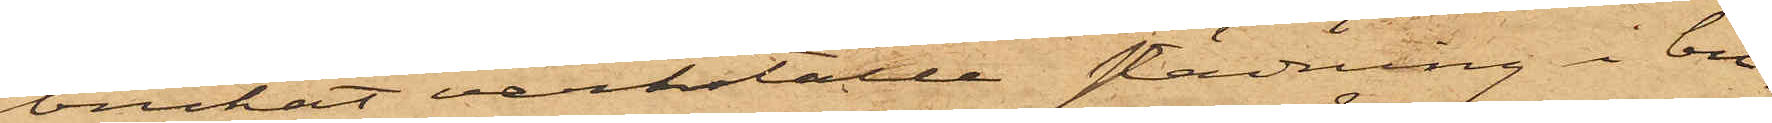brukat verkställa städning i bu¬
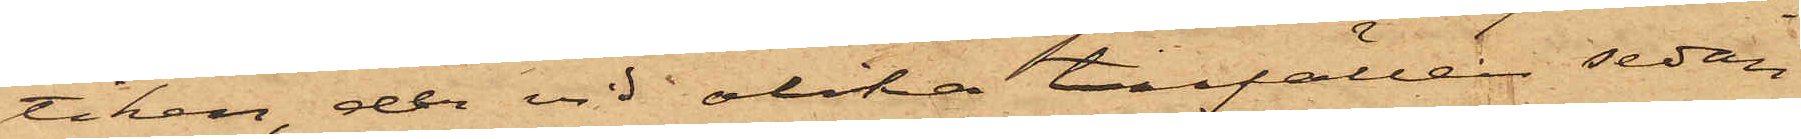tiken, der vid olika tillfällen sedan
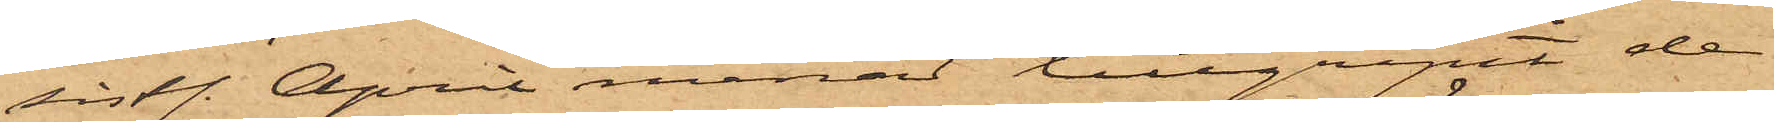sist. April månad tillgripit de
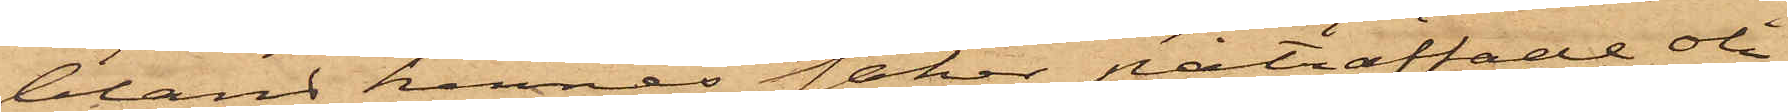bland hennes saker påträffade oli¬
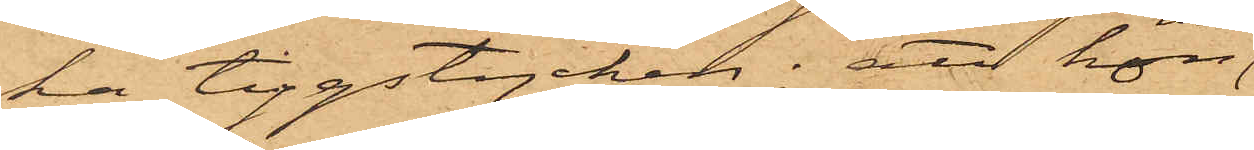ka tygstycken; att hon
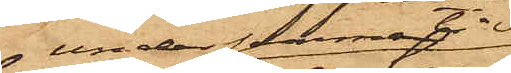 under denna tid
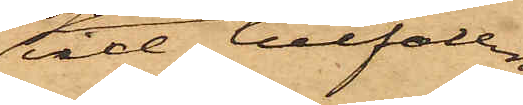vid tillfällen,
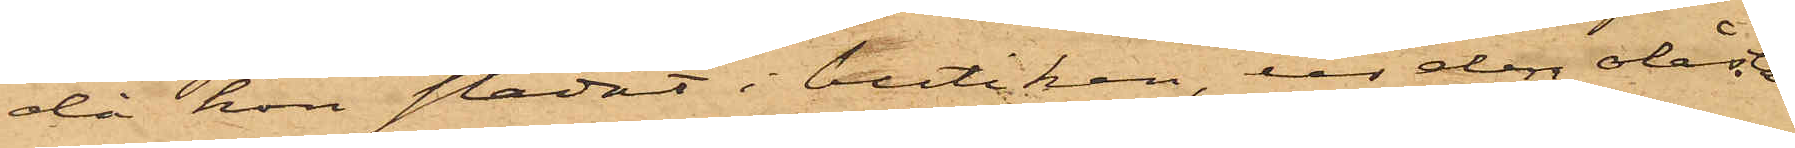då hon städat i butiken, ur den olåsta
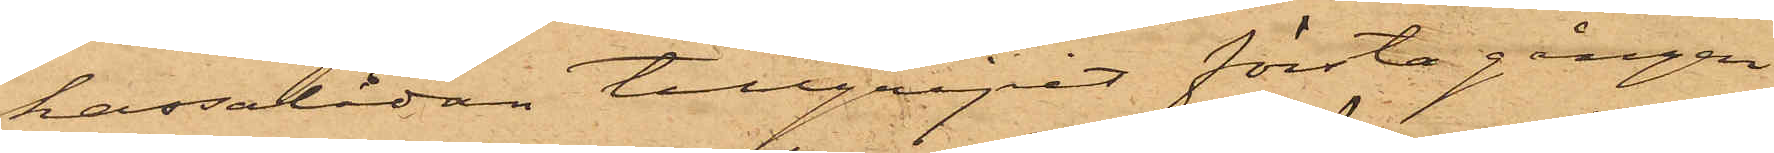kassalådan tillgripit första gången
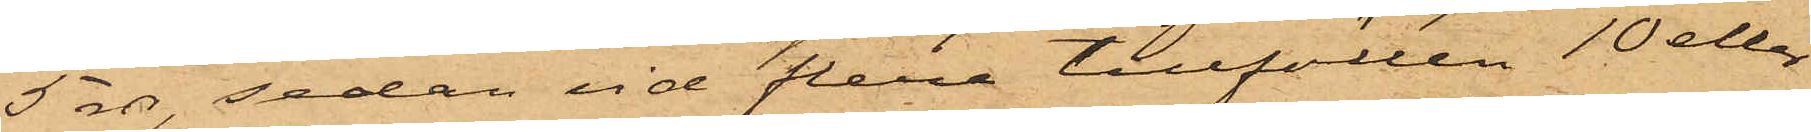5 rdr, sedan vid flera tillfällen 10 eller
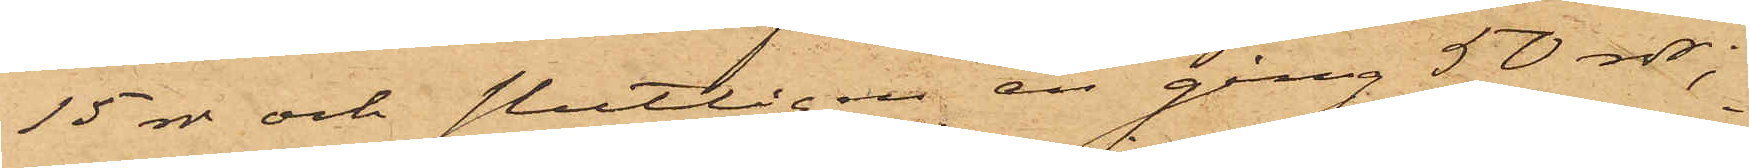15 rdr och slutligen en gång 50 rdr;
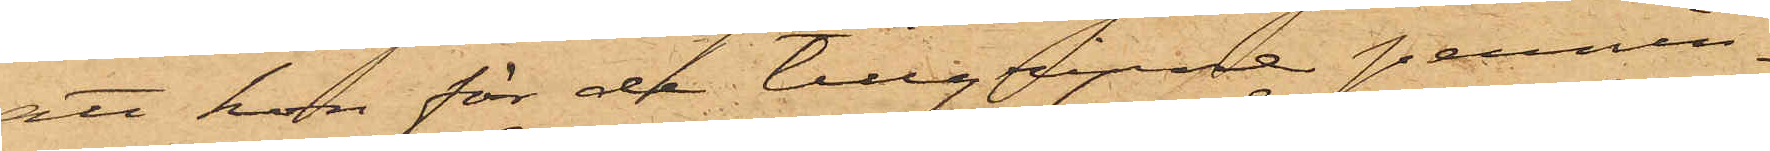att hon för de tillgripne pennin¬
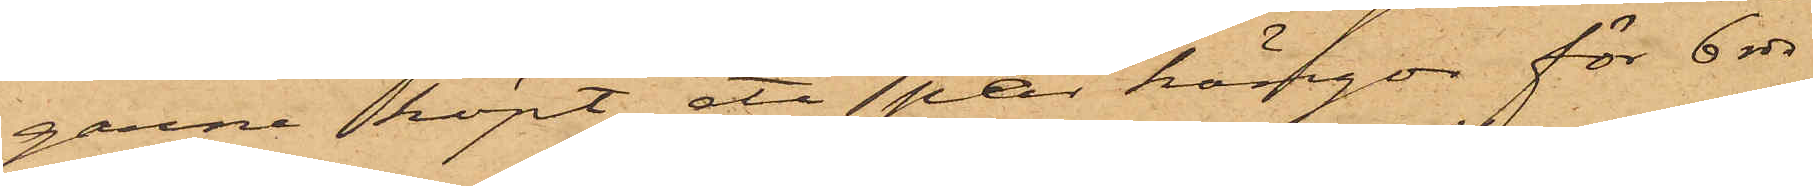garne köpt ett  par kängor för 6 rdr
